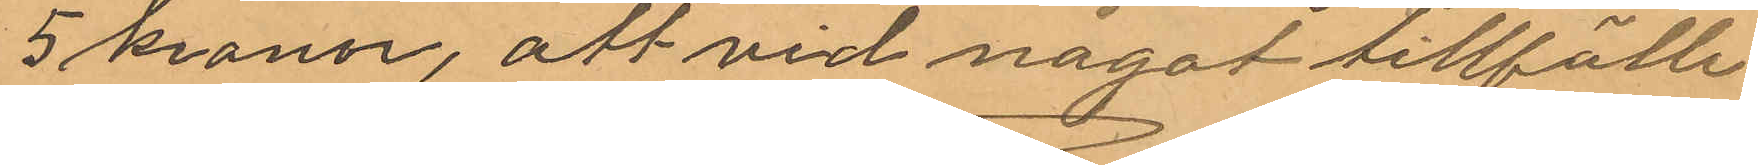5 kronor, att vid något tillfälle
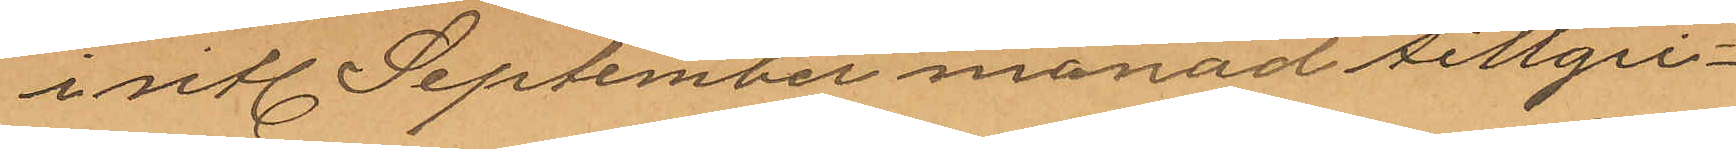i sitl. September månad tillgri¬
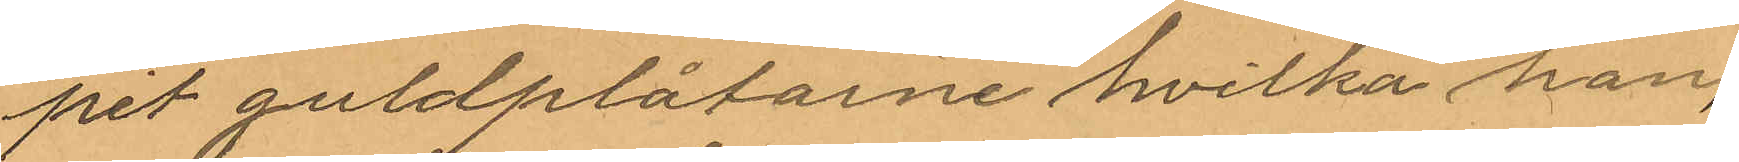per guldplåtarne hvilka han,
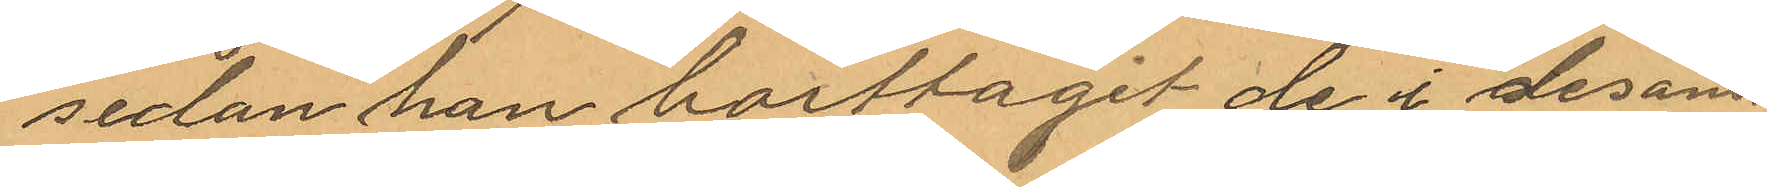sedan han borttagit de i desam¬
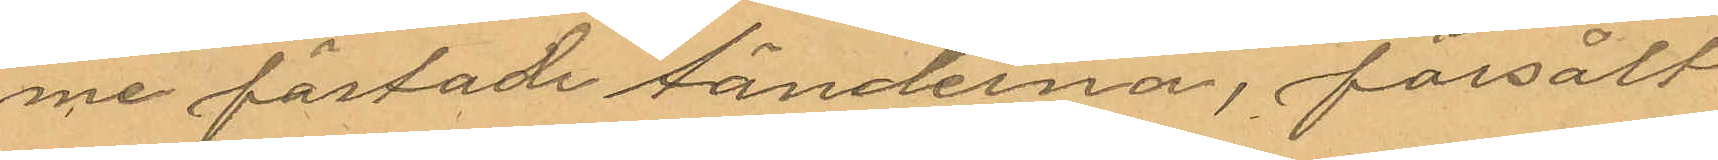me fästade tänderna, försålt
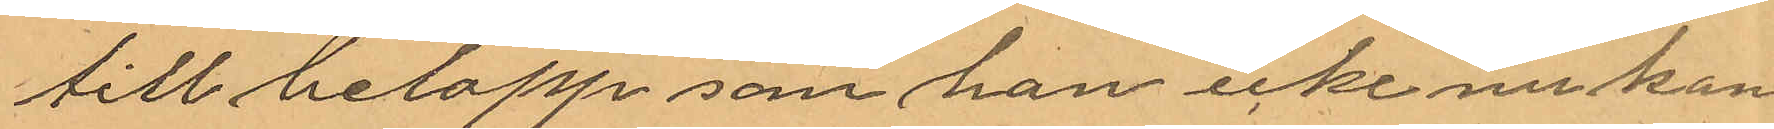till belopp som han icke nu kan
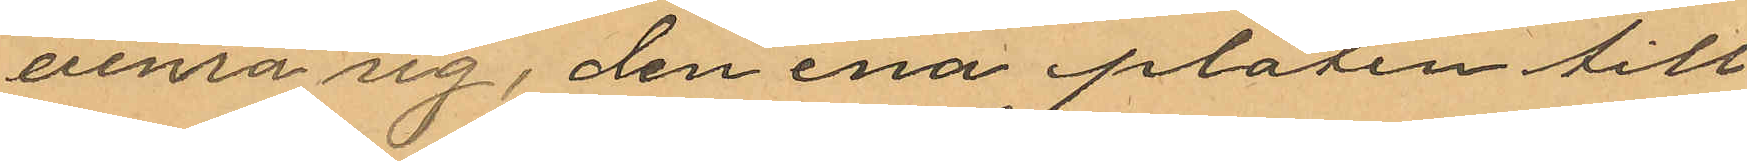erinra sig, den ena plåten till
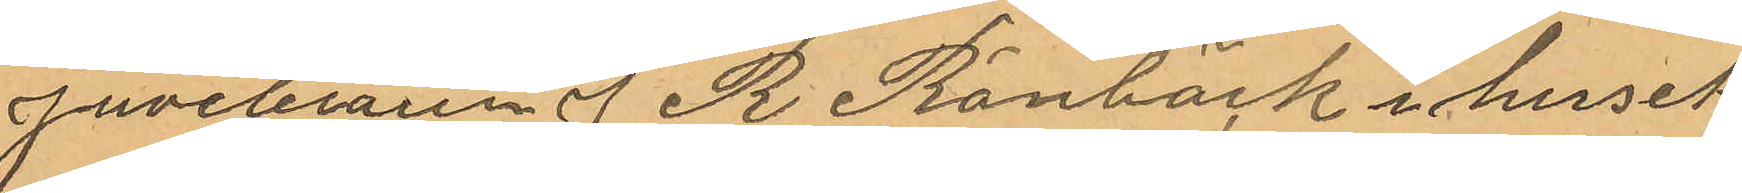Juveleraren J R Rönbäck i huset
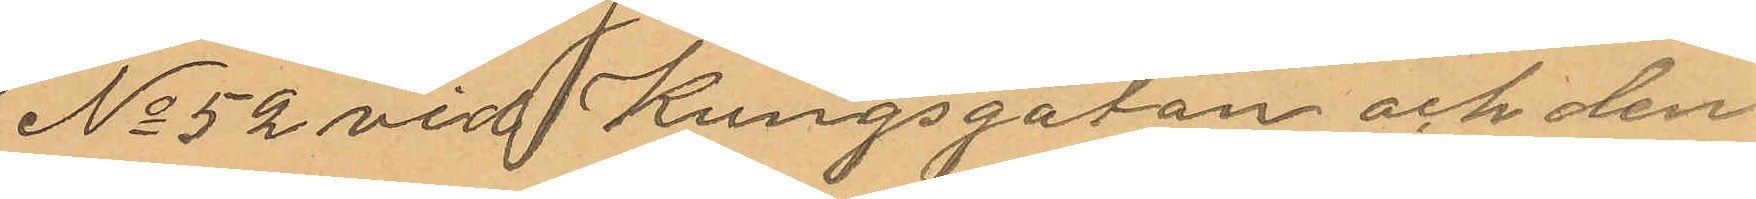No 52 vid Kungsgatan och den
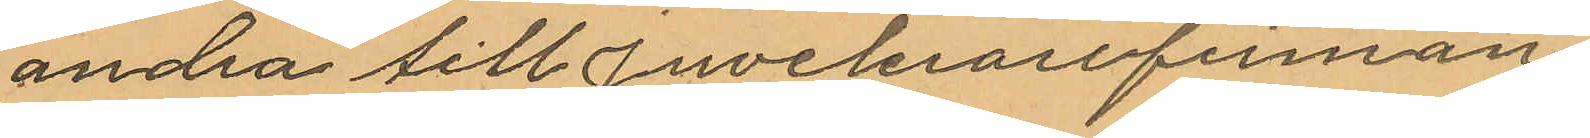andra till Juvelerarefirman
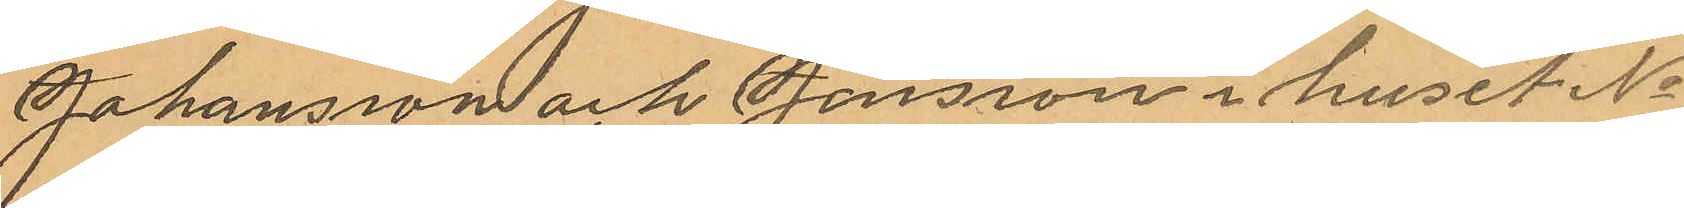Johansson och Jonsson i huset No
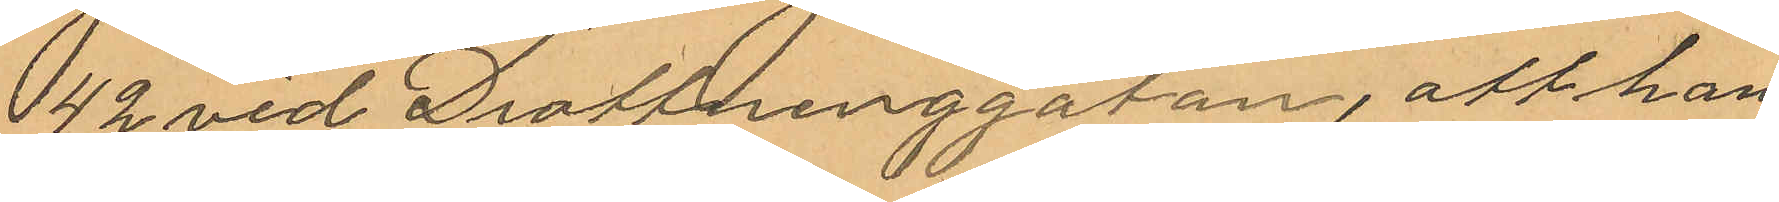 42 vid Drottninggatan, att han
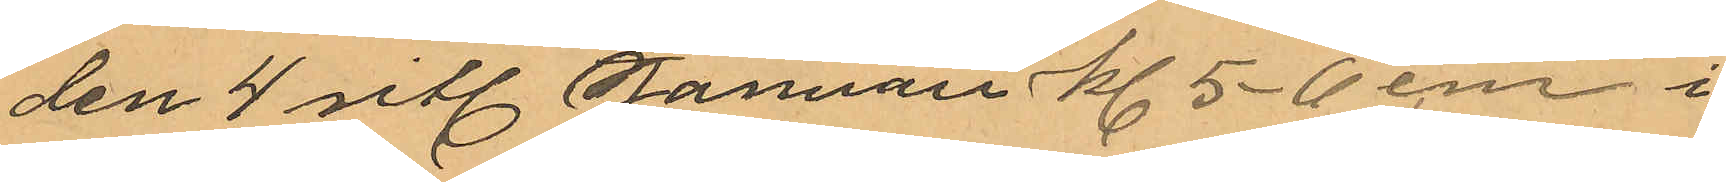den 4 sitl. Januari kl 5-6 em i
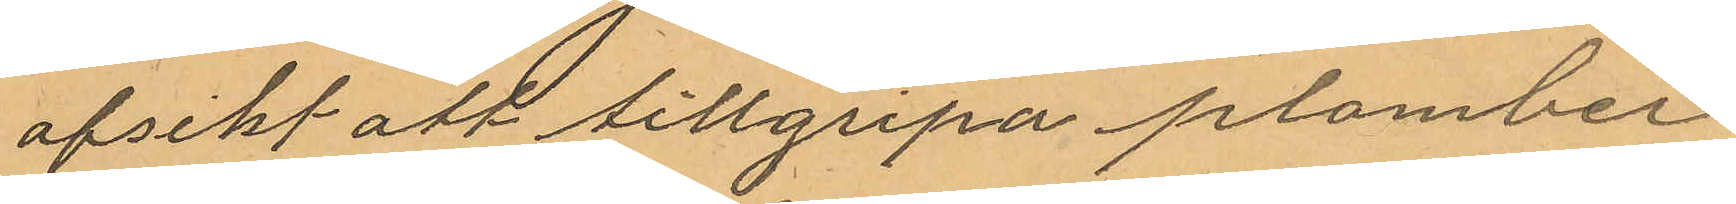afsikt att tillgripa plomber¬
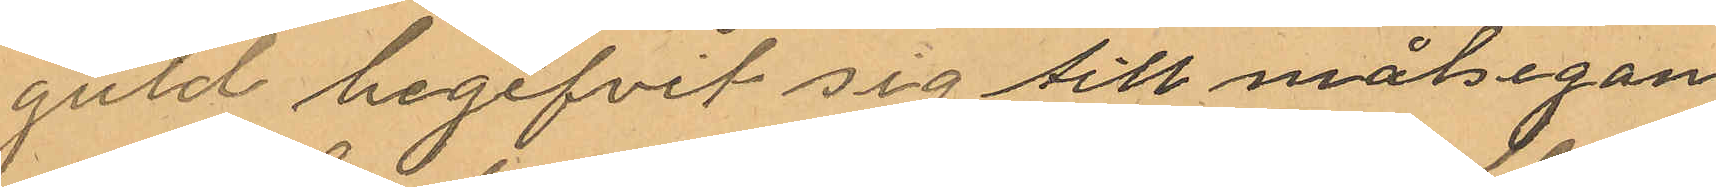guld begifvit sig till målsegan¬
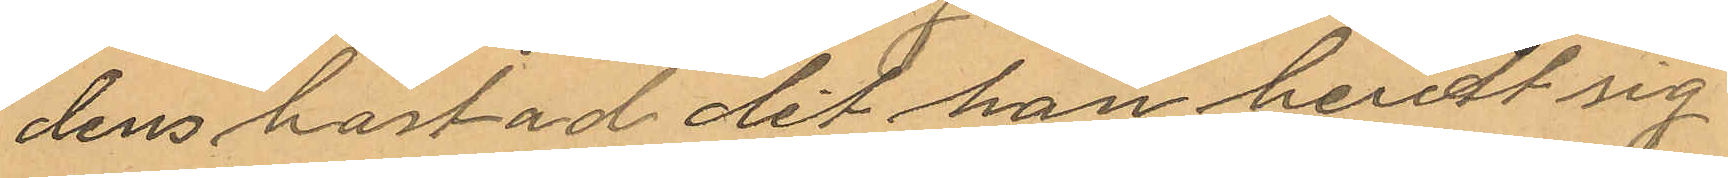dens bostad det han berett sig
